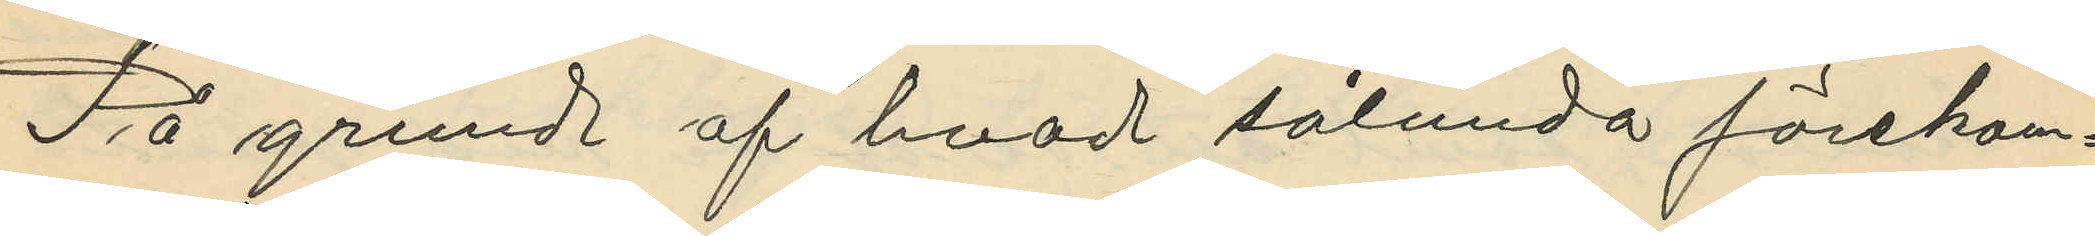På grund af hvad sålunda förekom¬
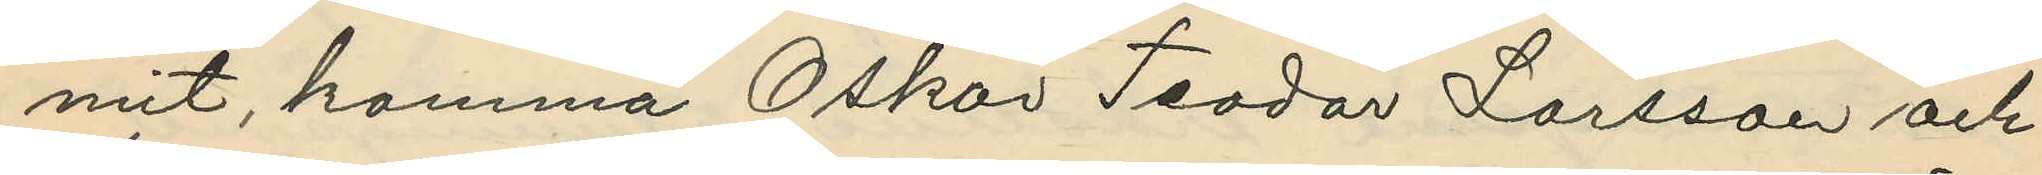mit, komma Oskar Teodor Larsson och
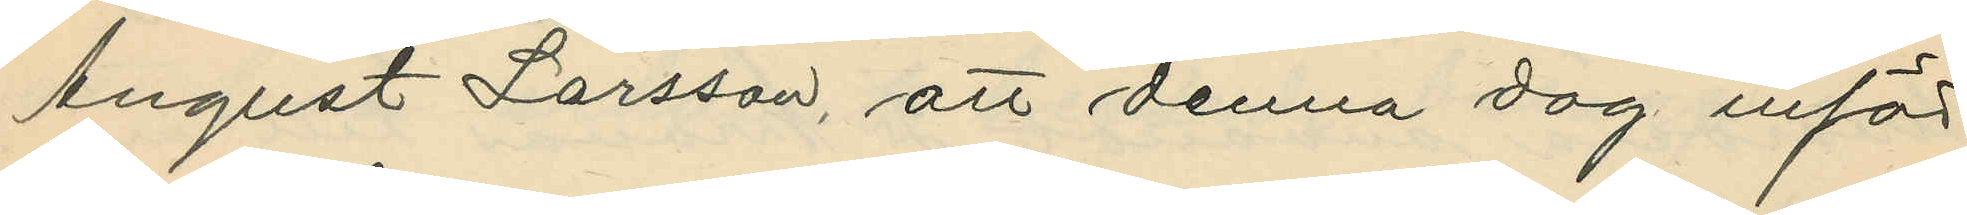August Larsson, att denna dag inför
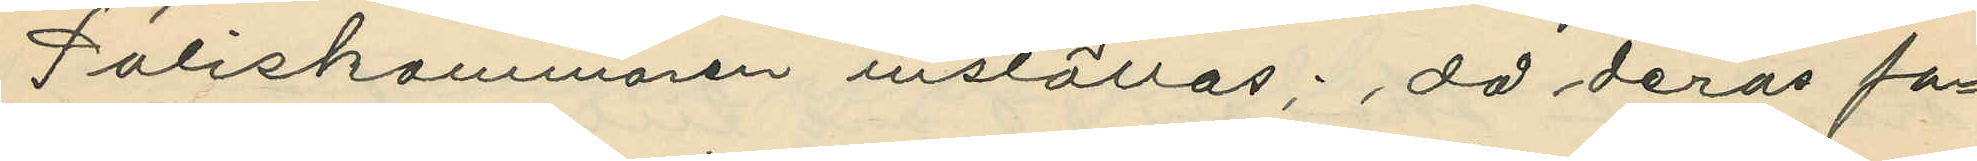Poliskammaren inställas; då deras fa¬
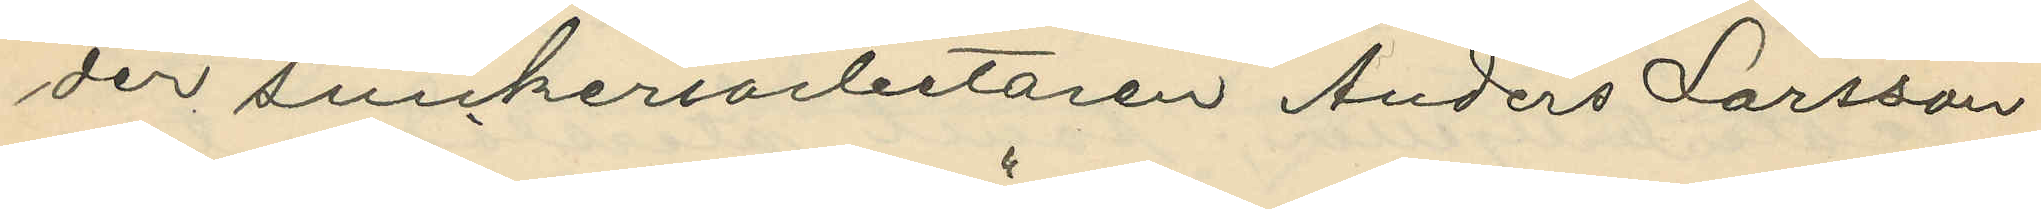der snickeriarbetaren Anders Larsson
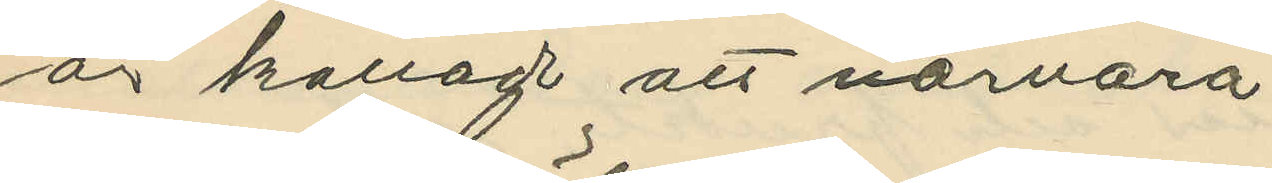är kallad att närvara.
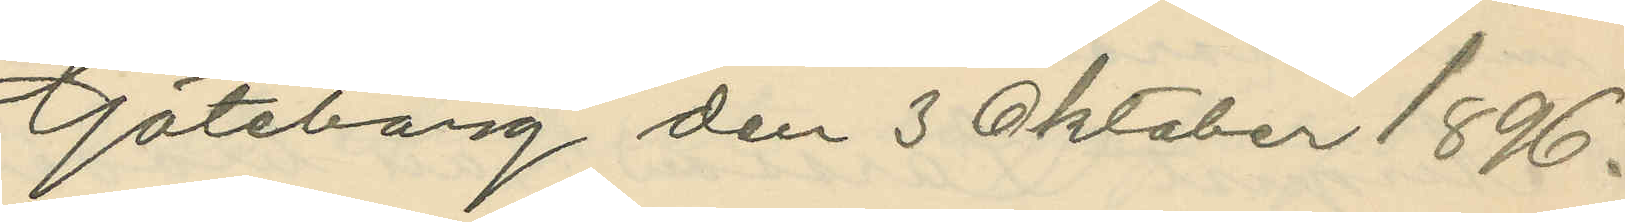Göteborg den 3 Oktober 1896.
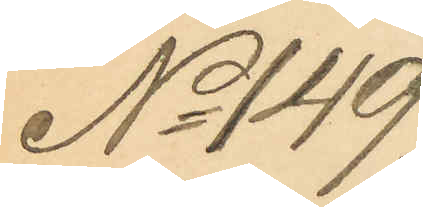No 149.
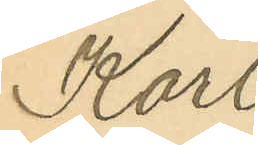Karl
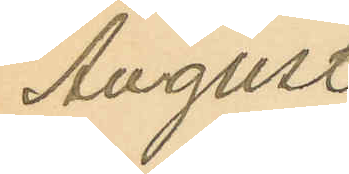August
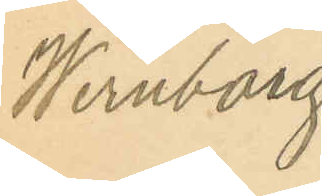Wernborg
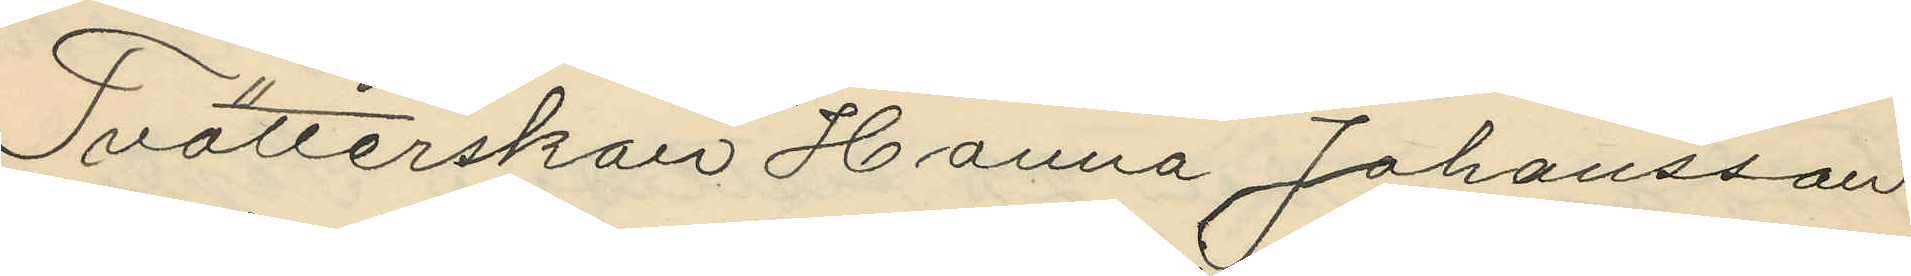Tvätterskan Hanna Johansson
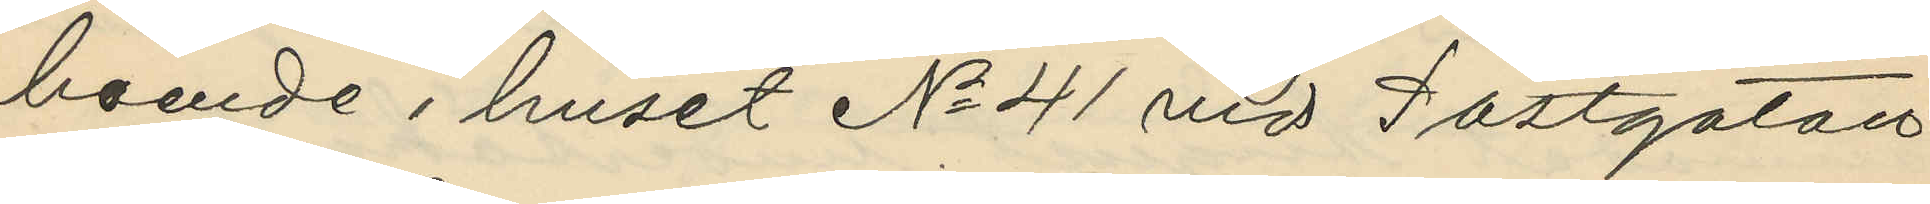boende i huset No 41 vid Postgatan
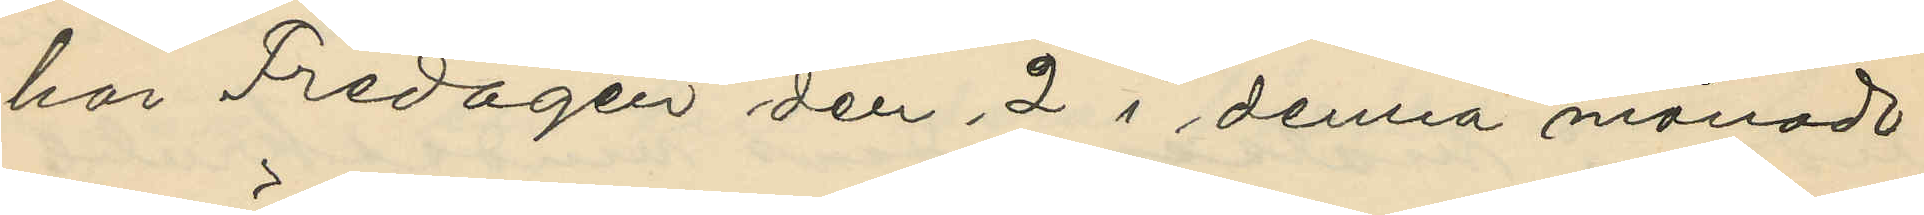har Fredagen den 2 i denna månad
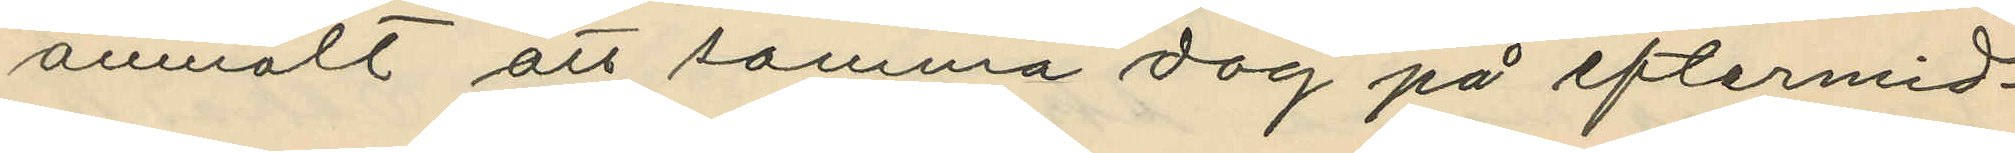anmält att samma dag på eftermid¬
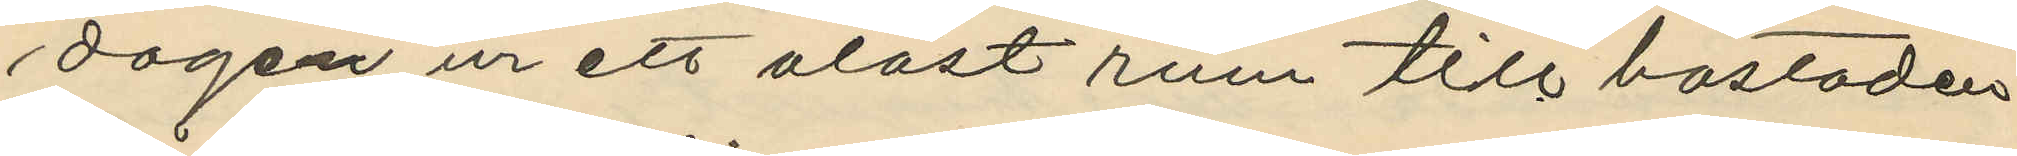dagen ur ett olåst rum till bostaden
